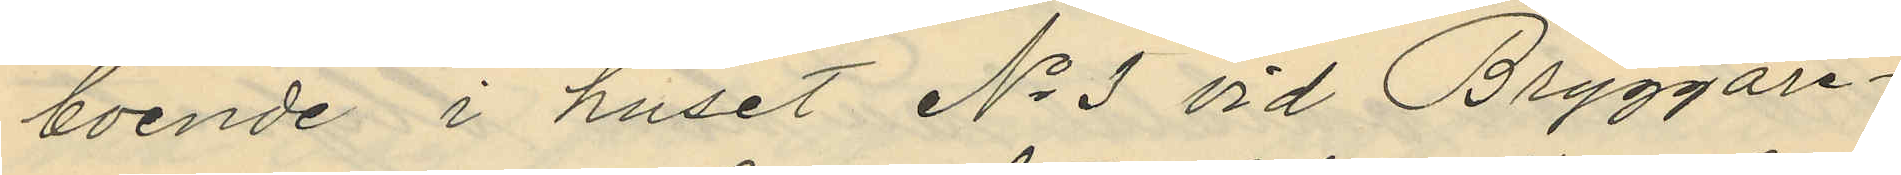boende i huset No 3 vid Bryggare¬
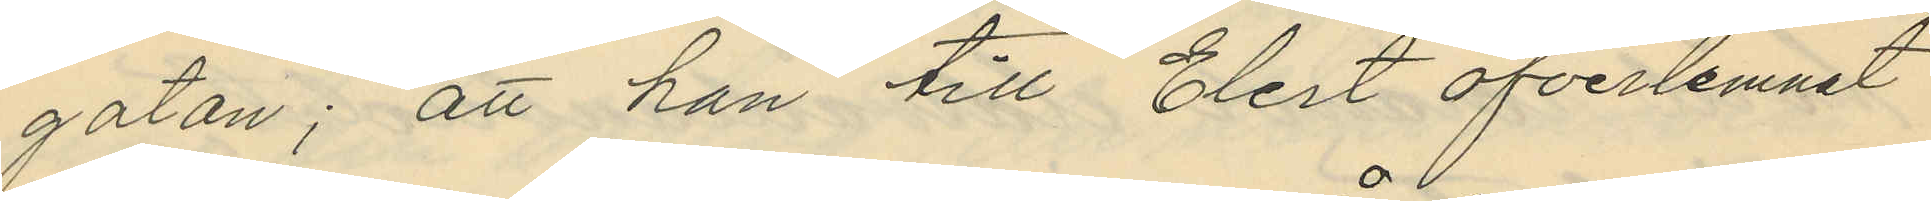gatan; att han till Elert öfverlemnat
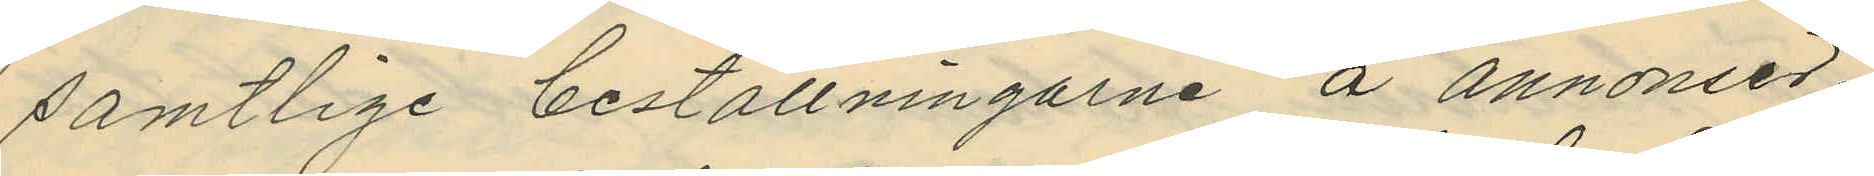samtlige beställningarne å annonser,
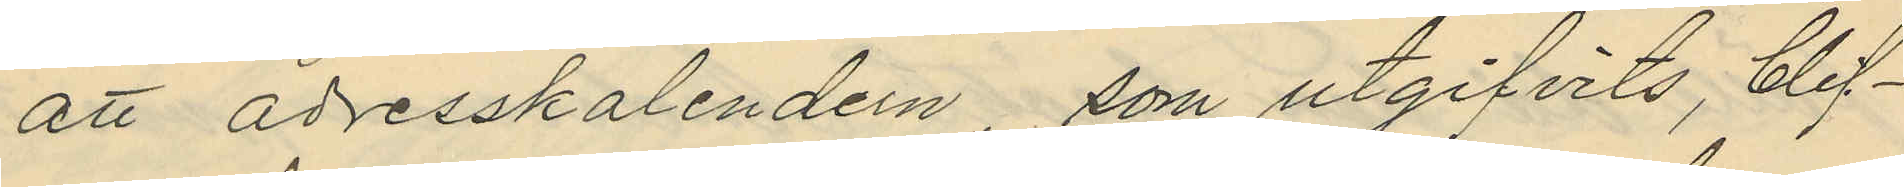att adresskalendern, som utgifvits, blif¬
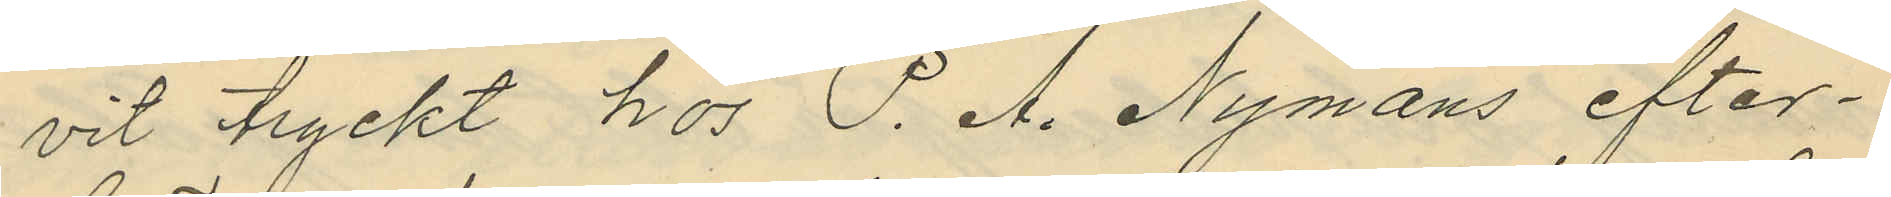vit tryckt hos P. A. Nymans efter¬
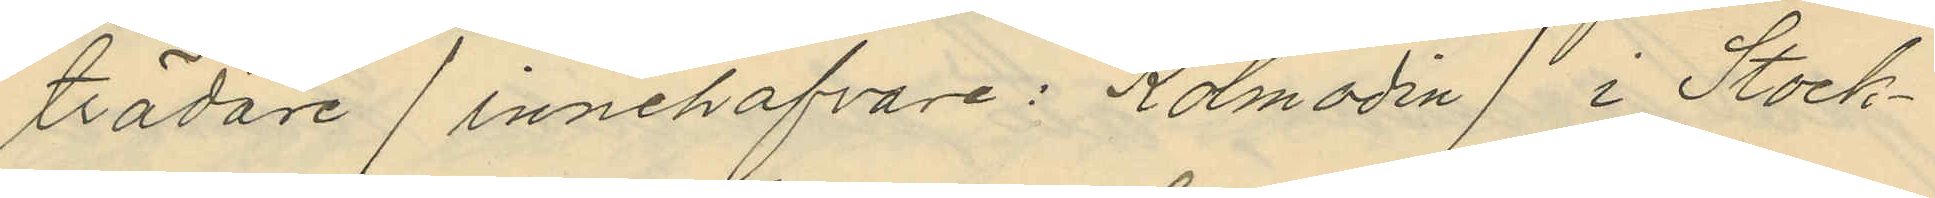trädare / innehafvare: Kolmodin / i Stock¬
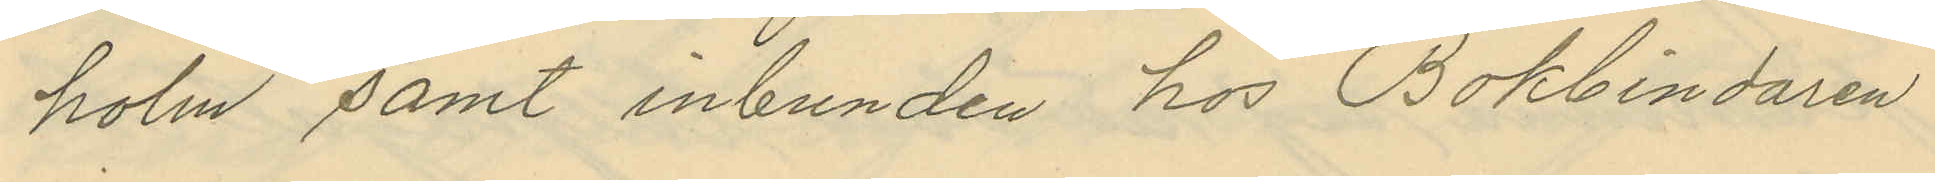holm samt inbunden hos Bokbindaren
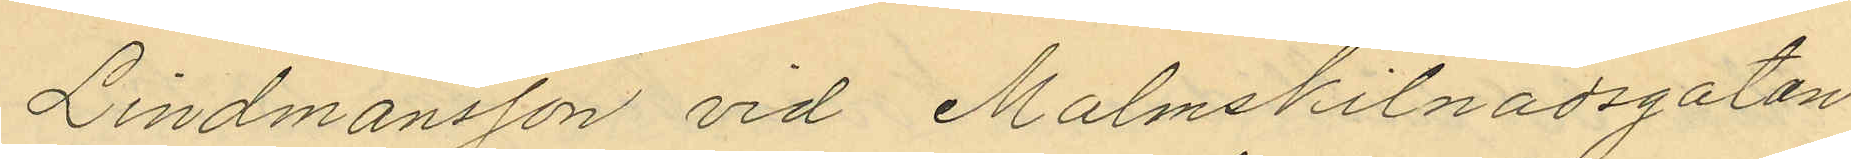Lindmansson vid Malmskilnadsgatan
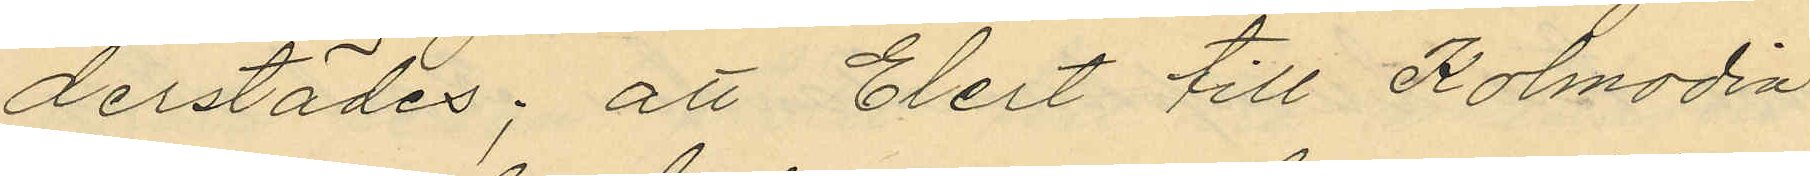derstädes; att Elert till Kolmodin
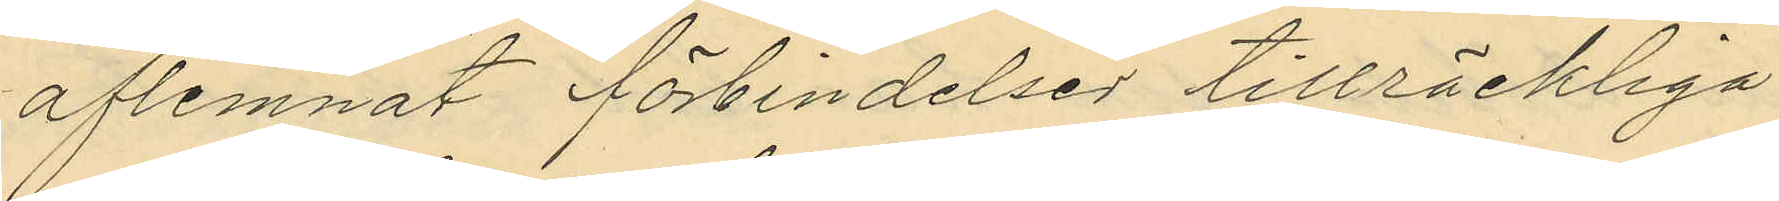aflemnat förbindelser tillräckliga
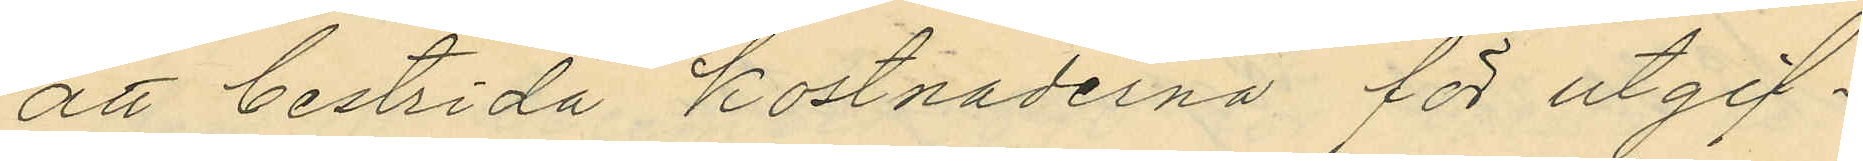att bestrida kostnaderna för utgif¬
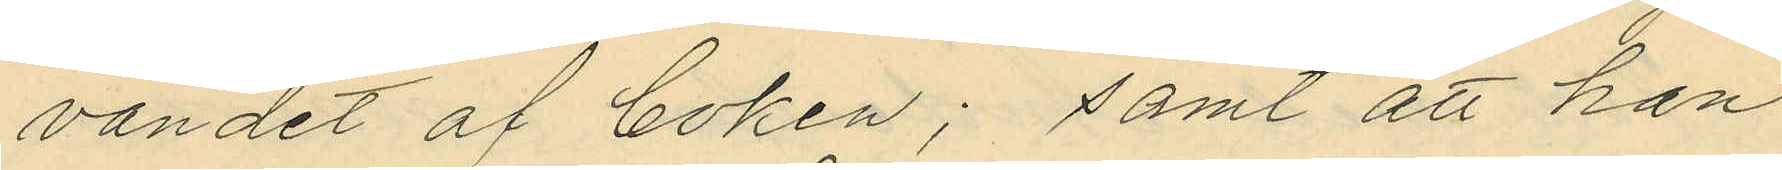vandet af boken; samt att han
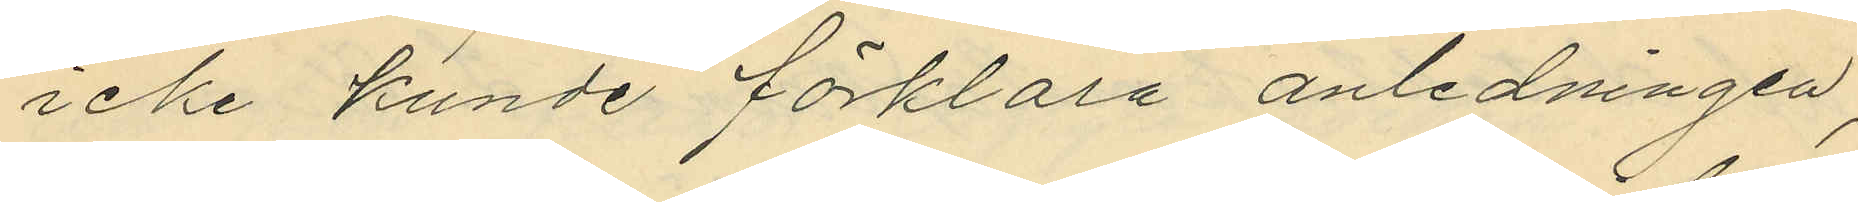icke kunde förklara anledningen,
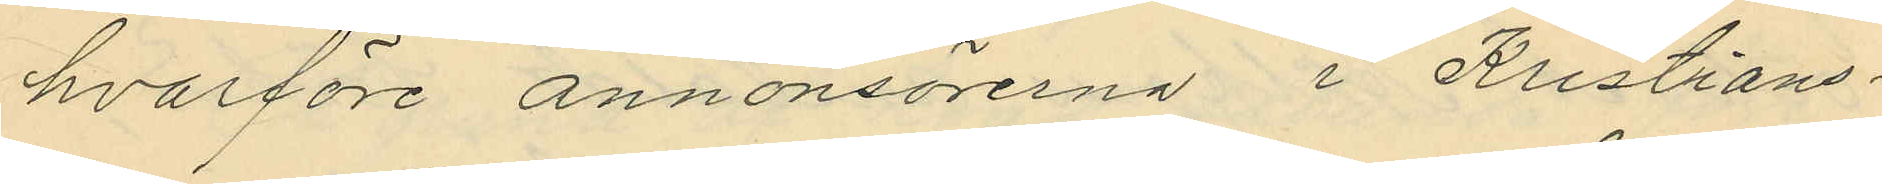hvarföre annonsörerna i Kristians¬
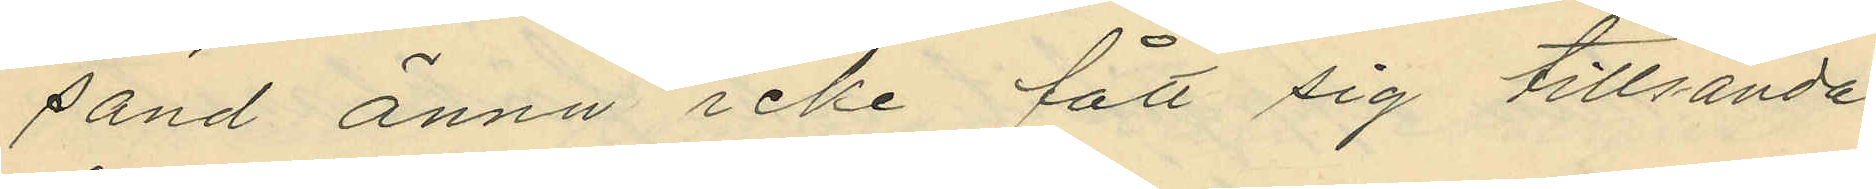sand ännu icke fått sig tillsända
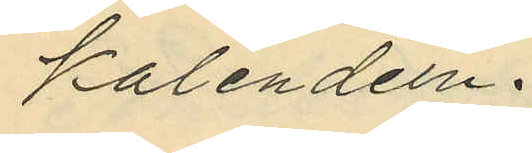kalendern.
